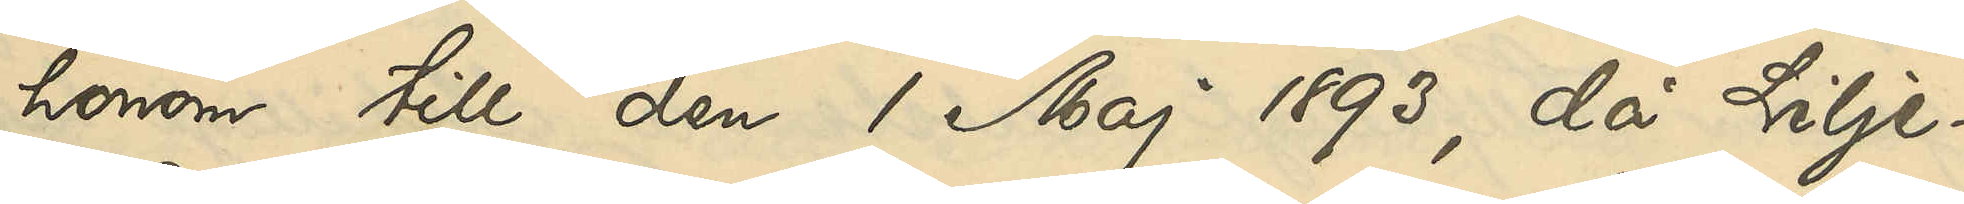honom till den 1 Maj 1893, då Lilje¬
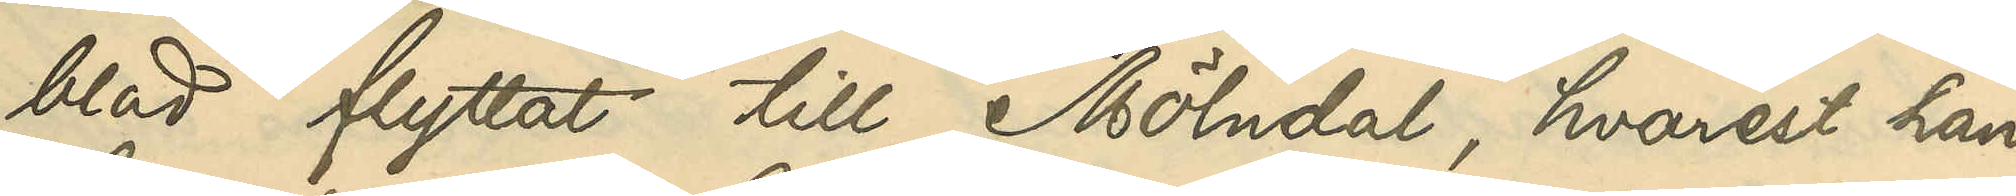blad flyttat till Mölndal, hvarest han
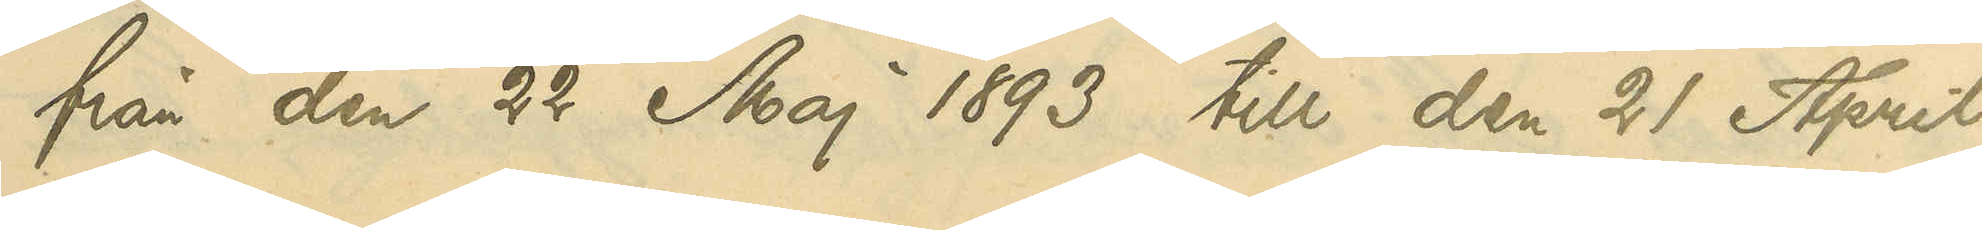från den 22 Maj 1893 till den 21 April
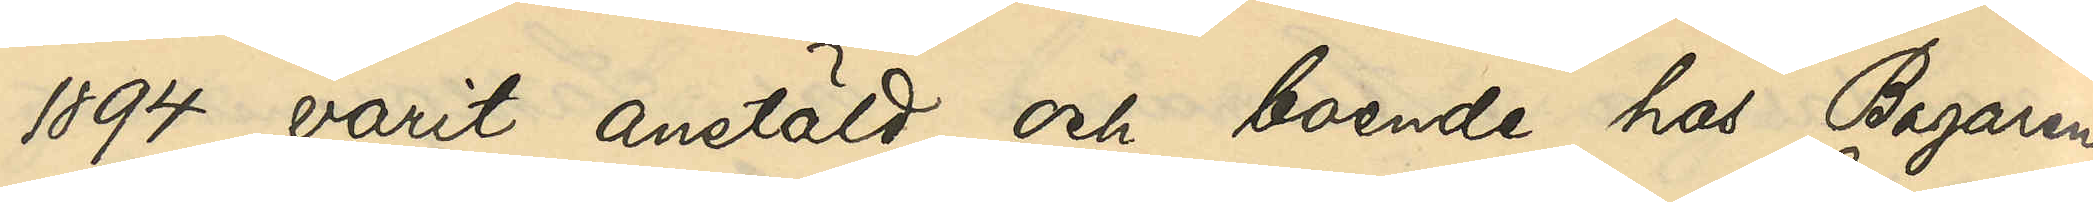1894 varit anstäld och boende hos Bagaren
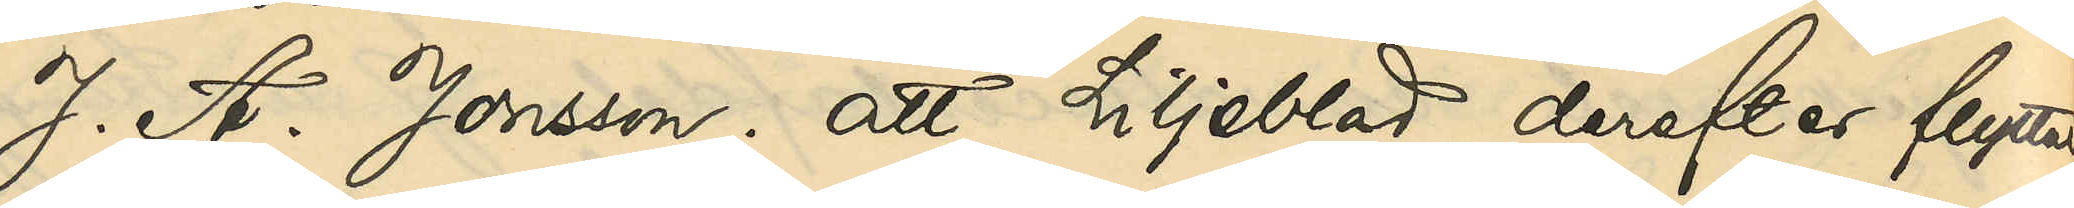J. A. Jonsson; att Liljeblad derefter flyttat
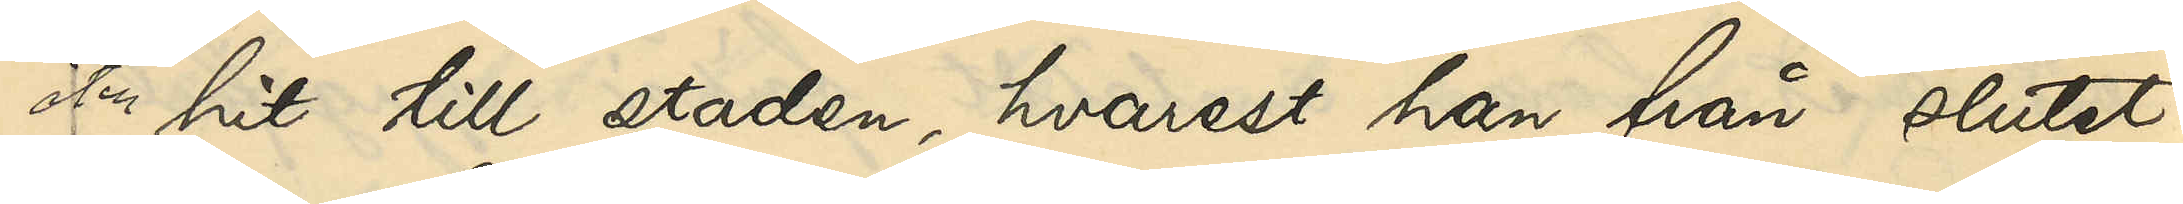hit till staden, hvarest han från slutet
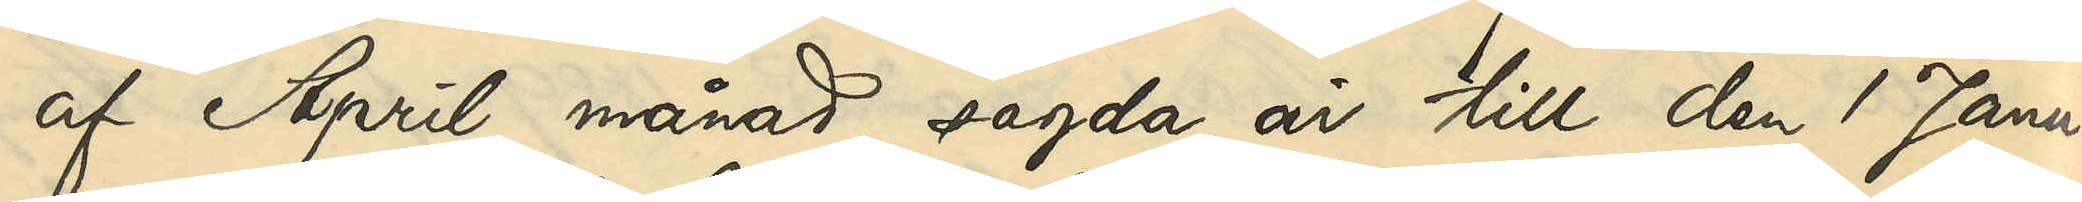af April månad sagda år till den 1 Janu¬
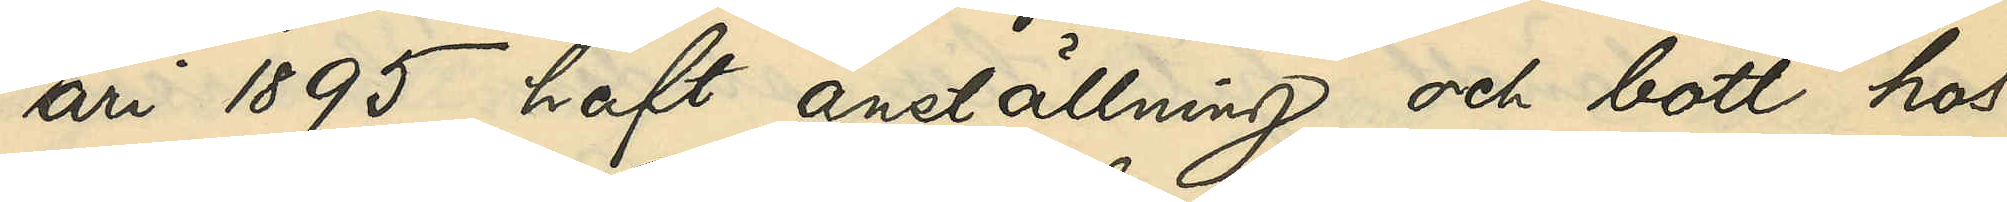ari 1895 haft anställning och bott hos
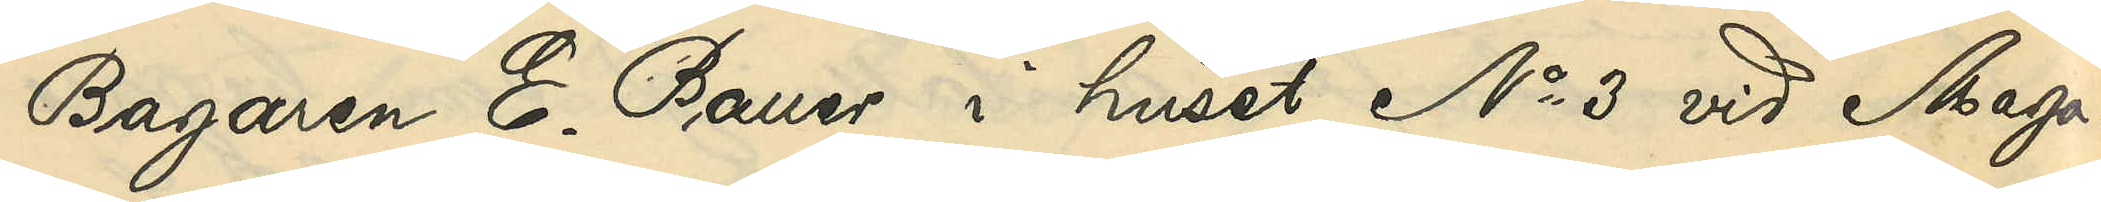Bagaren E. Bauer i huset No 3 vid Maga¬
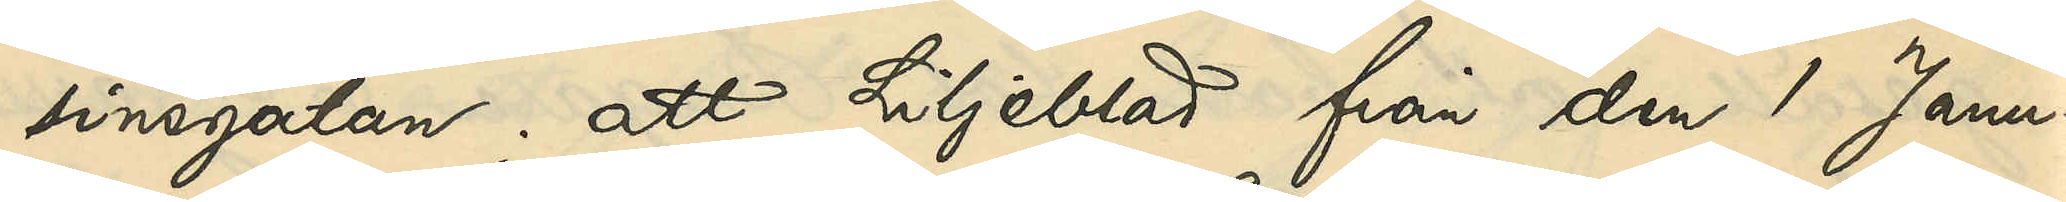sinsgatan; att Liljeblad från den 1 Janu¬
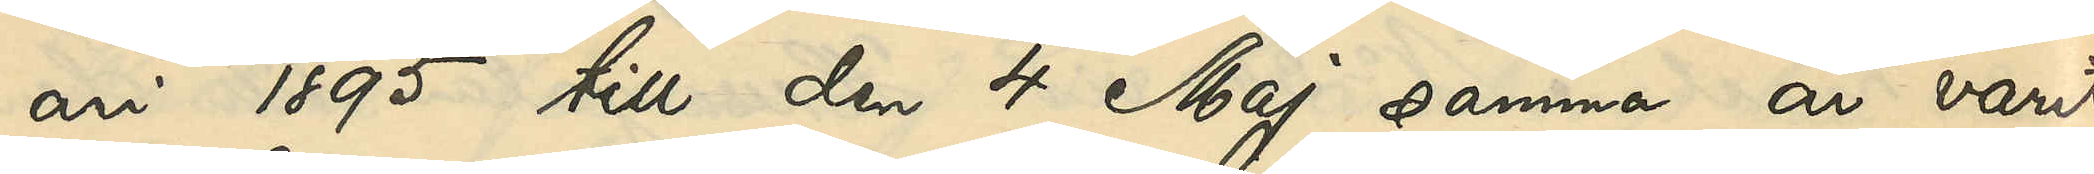ari 1895 till den 4 Maj samma år varit
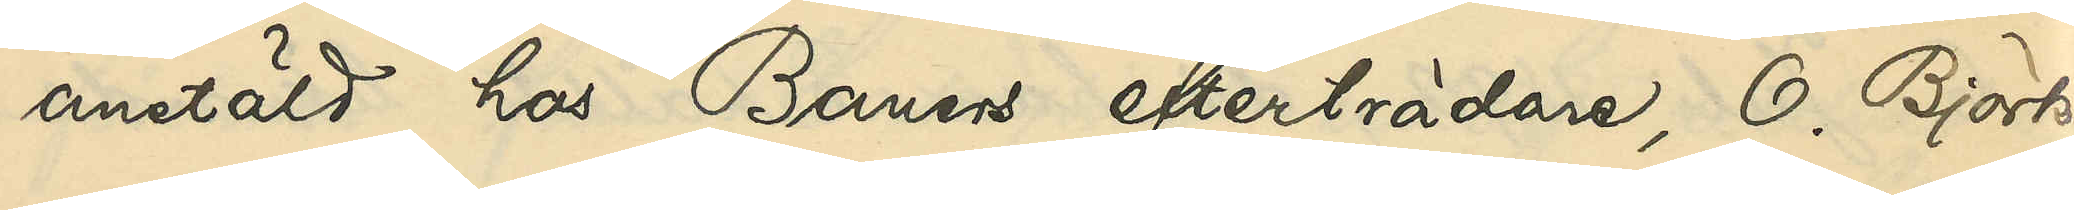anstäld hos Bauers efterträdare, O. Björk
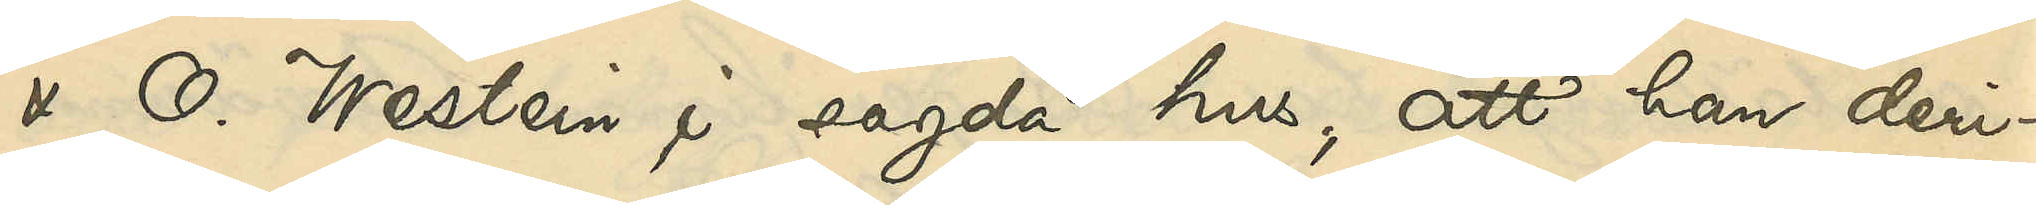& O. Westein i sagda hus; att han deri¬
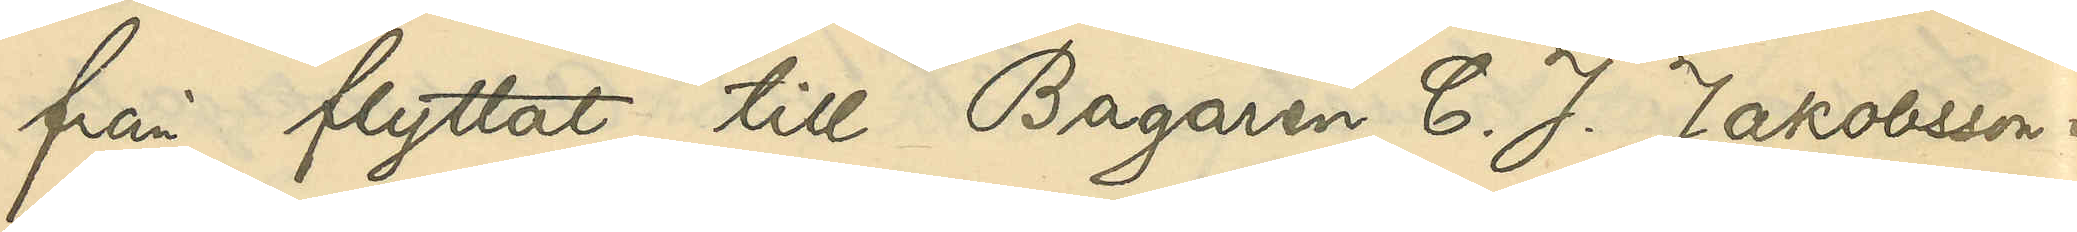från flyttat till Bagaren C. J. Jakobsson i
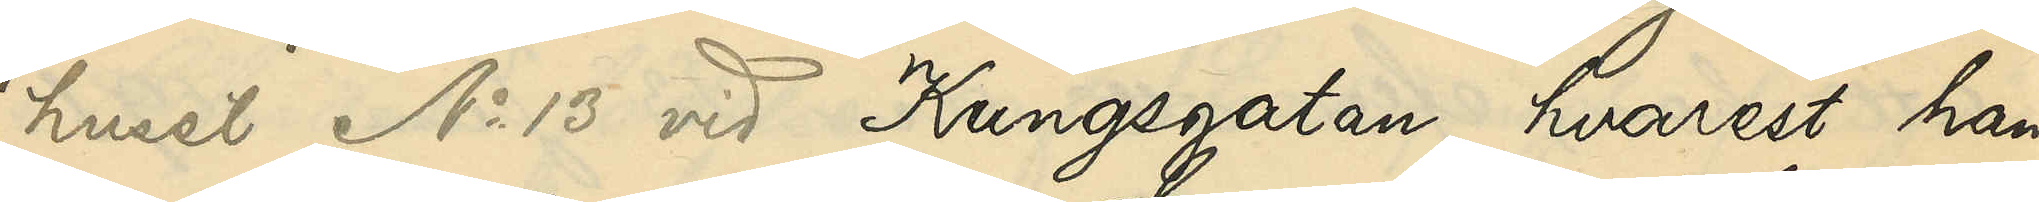huset No 13 vid Kungsgatan, hvarest han
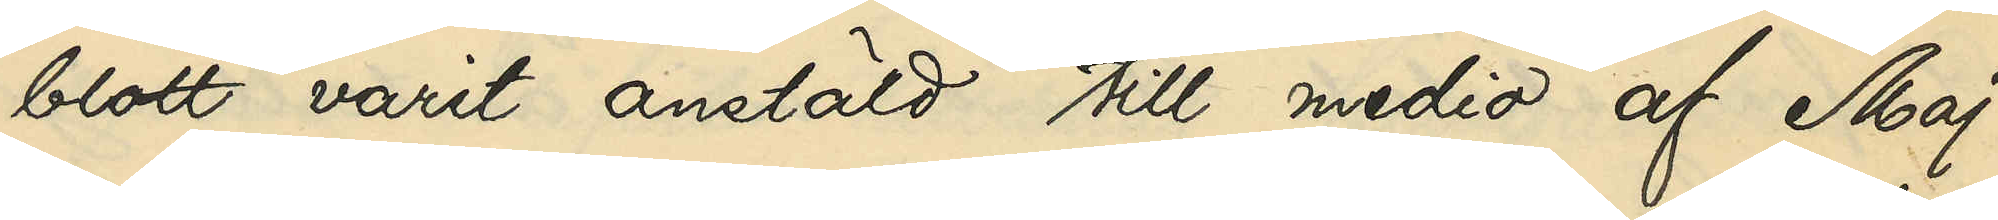blott varit anstäld till medio af Maj
